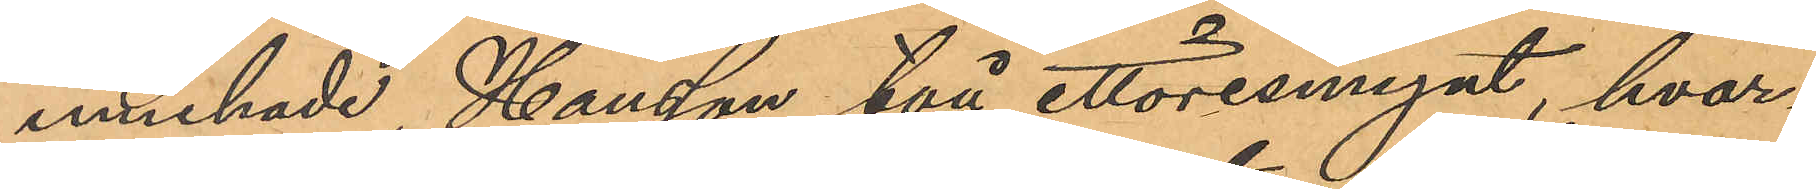innehade Hansson två ettöresmynt, hvar¬
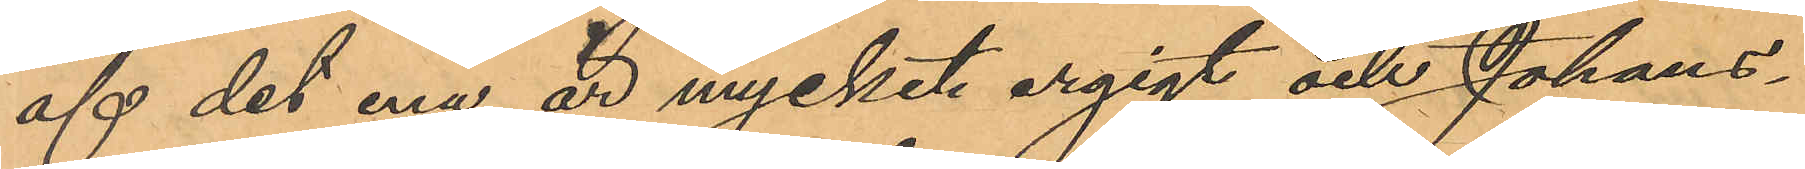af det ena är mycket ergigt och Johans¬
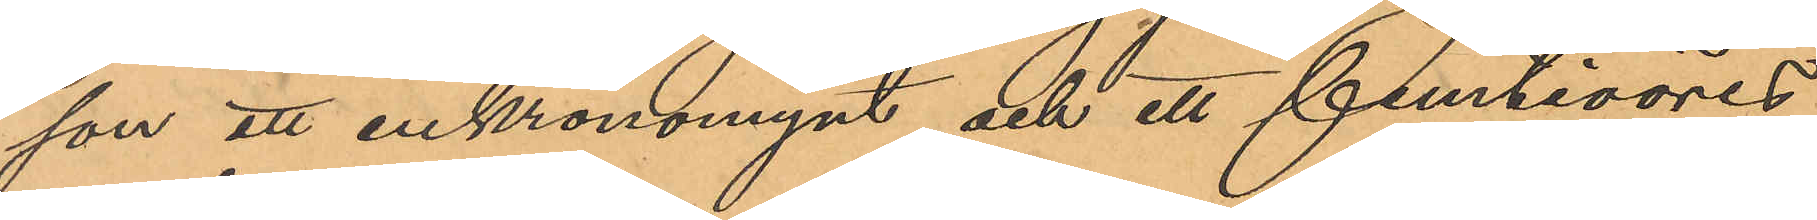son ett enkronomynt och ett femtioöres¬
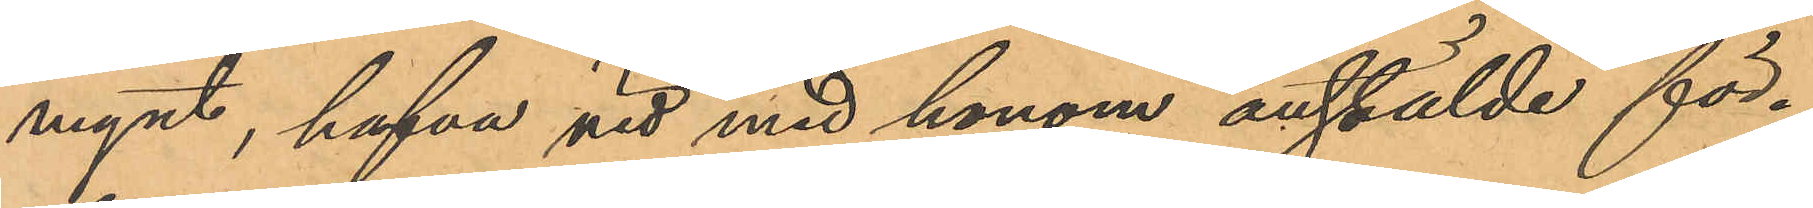mynt, hafva vid med honom anstälde för¬
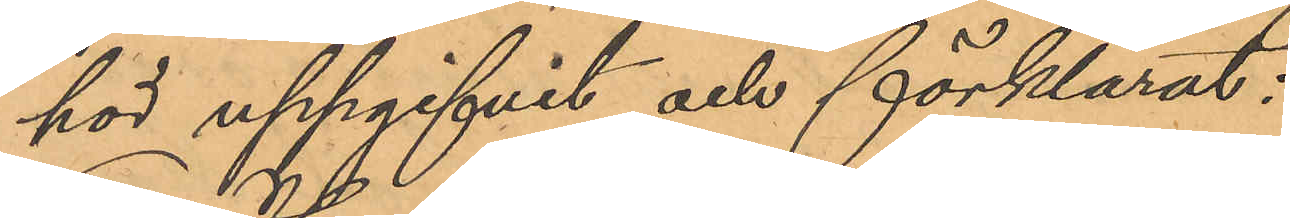hör uppgifvit och förklarat:
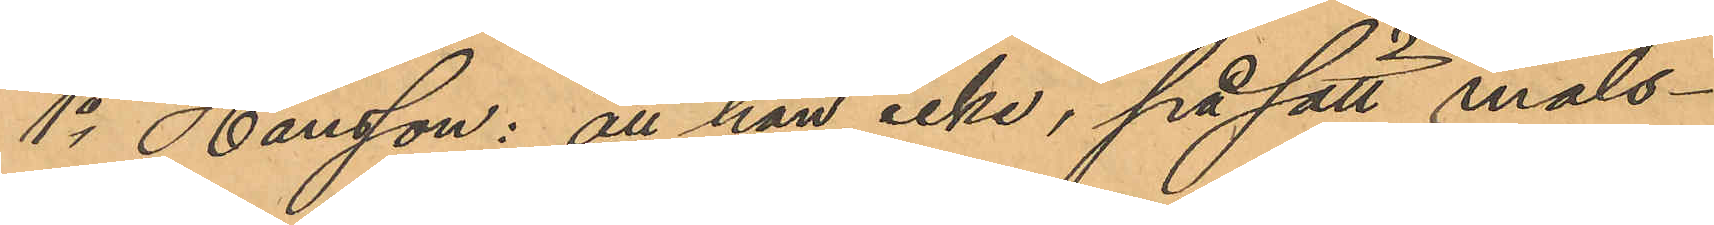1o Hansson: att han icke, på sätt måls¬
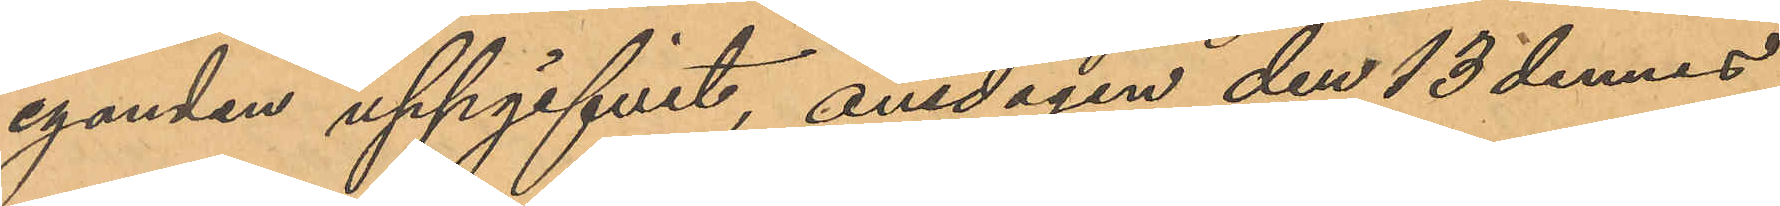eganden uppgifvit, onsdagen den 13 dennes
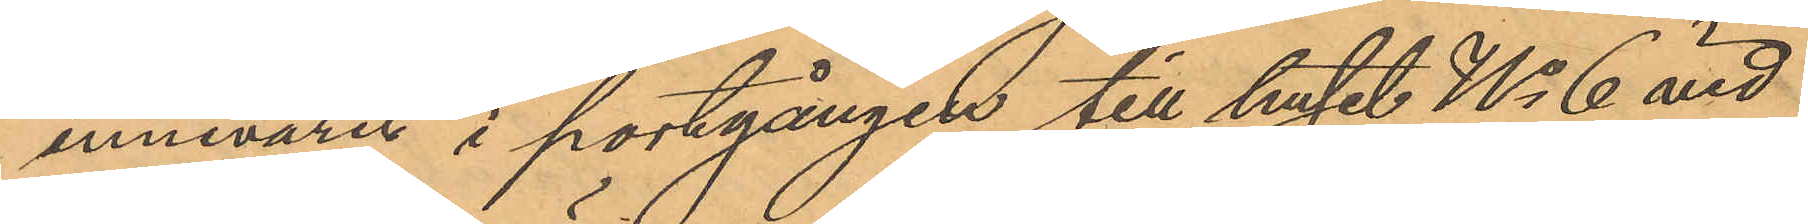innevarit i portgången till huset No 6 vid
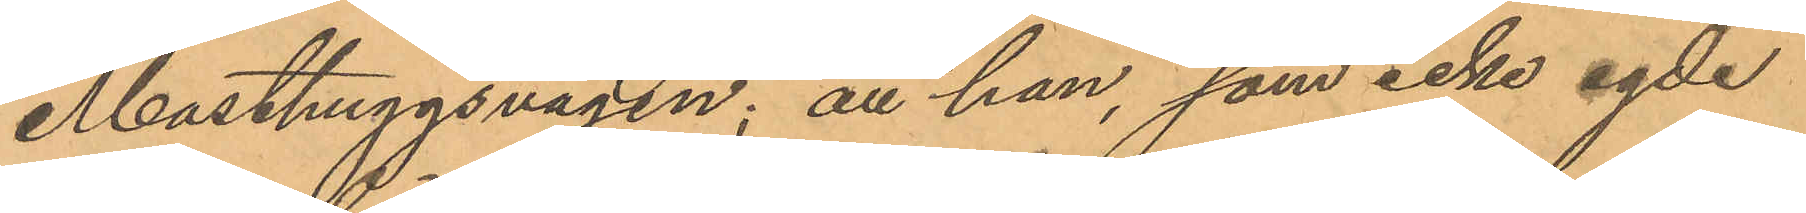Masthuggsvägen; att han, som icke egde
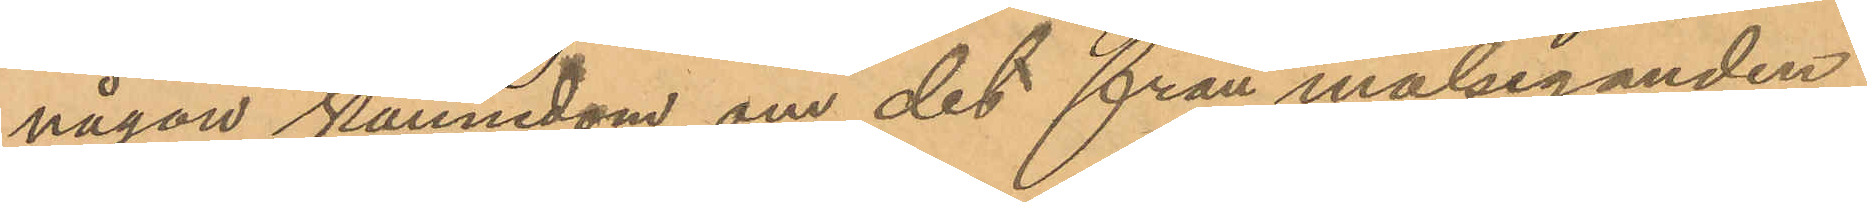någon kännedom om det från målseganden
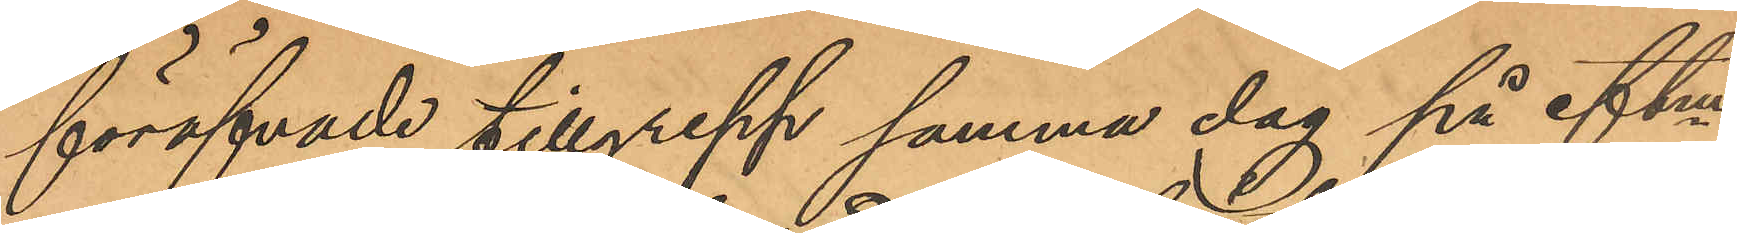föröfvade tillgrepp samma dag på eftm,
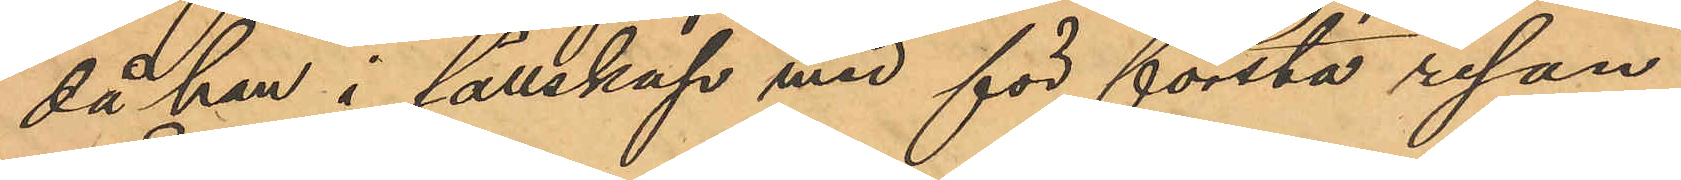då han i sällskap med för första resan
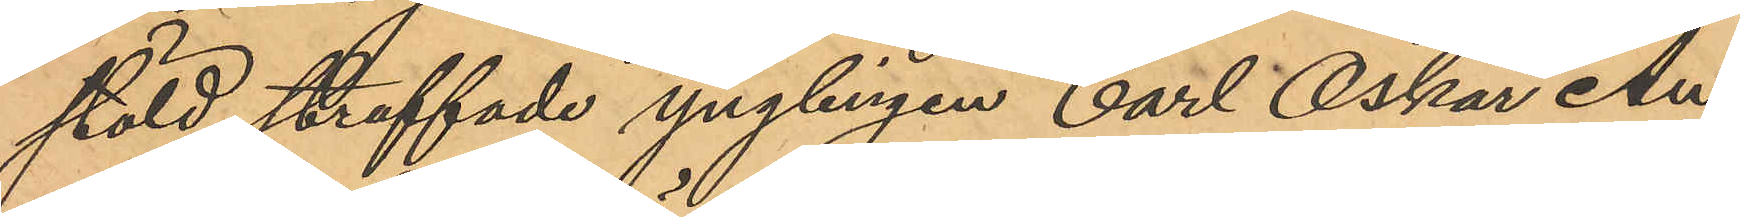stöld straffade ynglingen Carl Oskar An¬
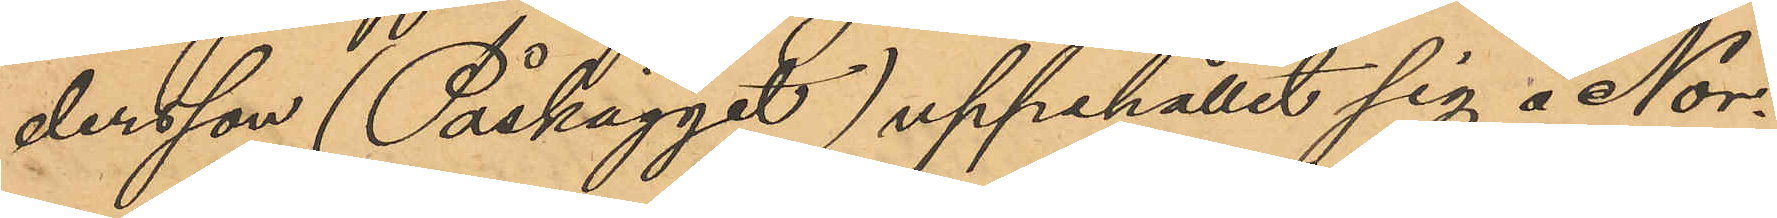dersson (Påskägget) uppehållit sig å Nor¬
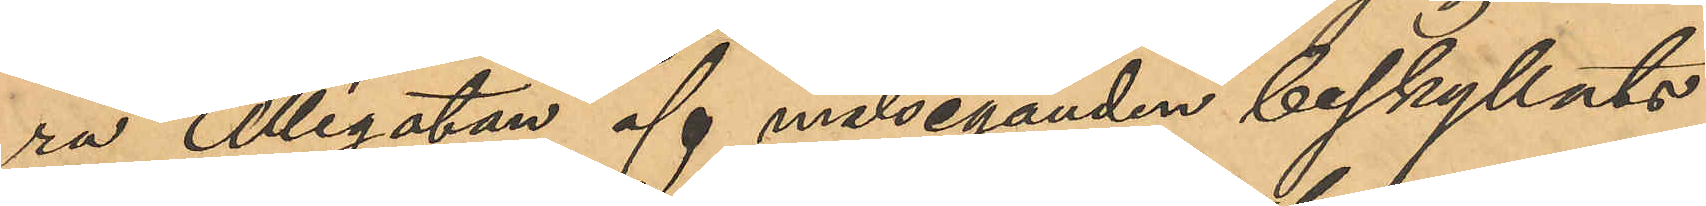ra Allégatan af målseganden beskyllats
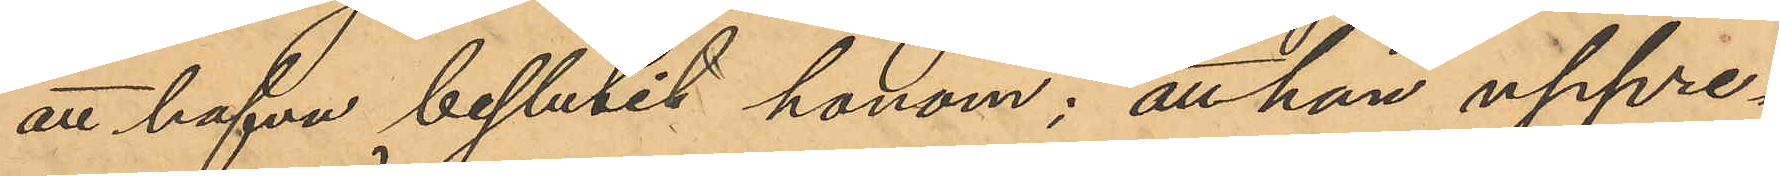att hafva beslutit honom; att han uppre¬
